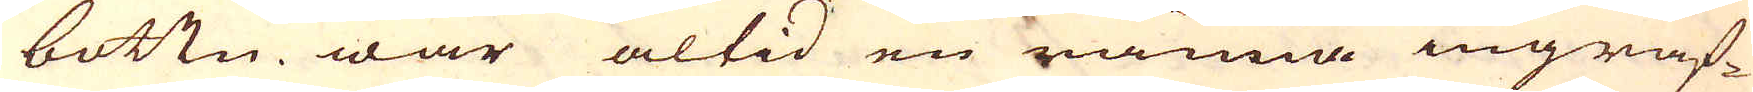bottn war altid en ränna ingraf-
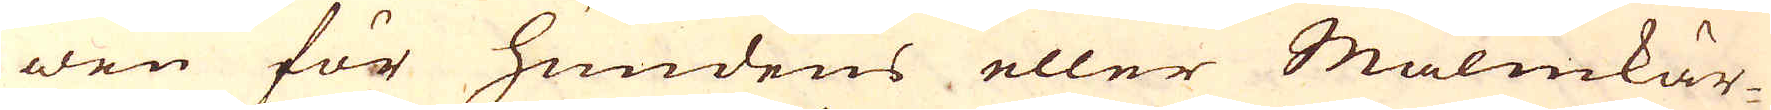wen för Hundens eller Malmkär-
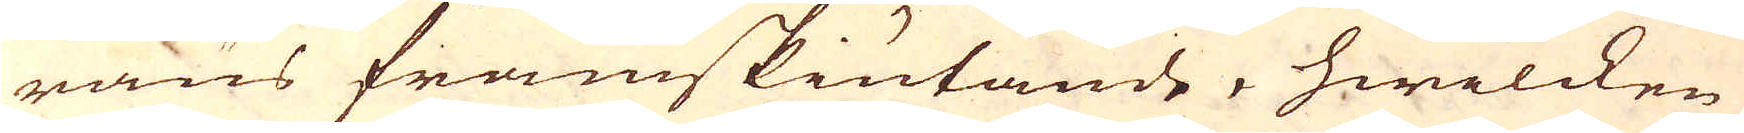räns framskiutande, hwilcken
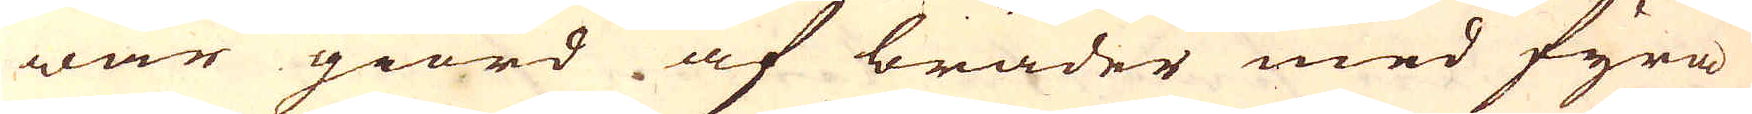war giord af bräder med fyra
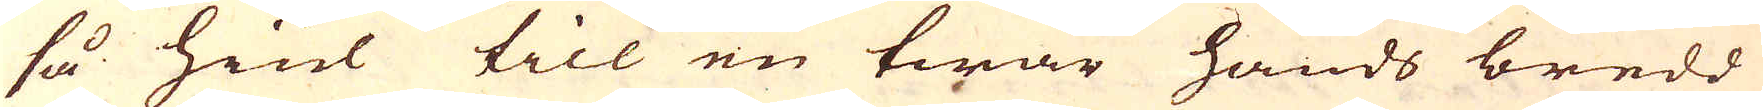så hiul till en twär hands bredd
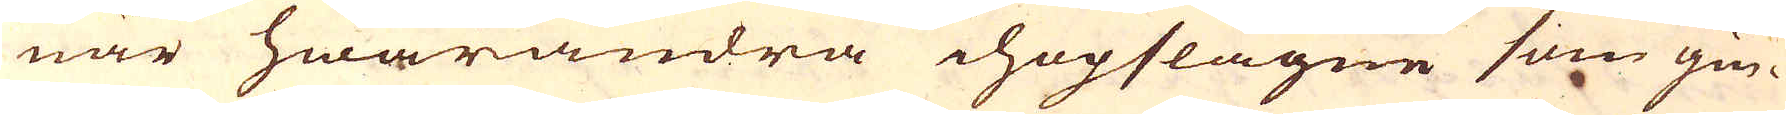när hwarandra ihopslagne som gin-
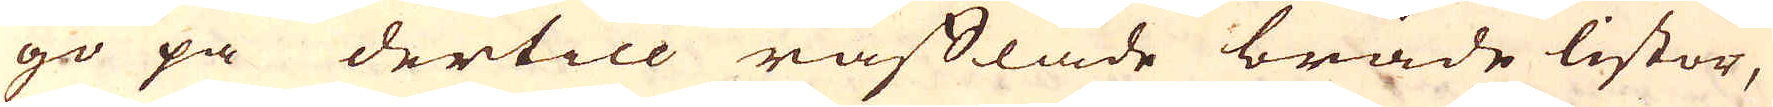go på dertill räfflade bräde listor,
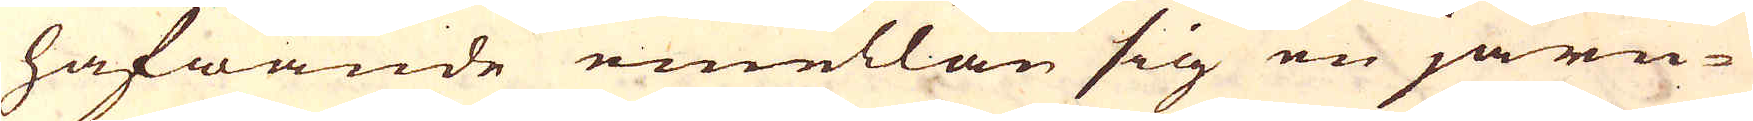hafwande emellan sig en järn-
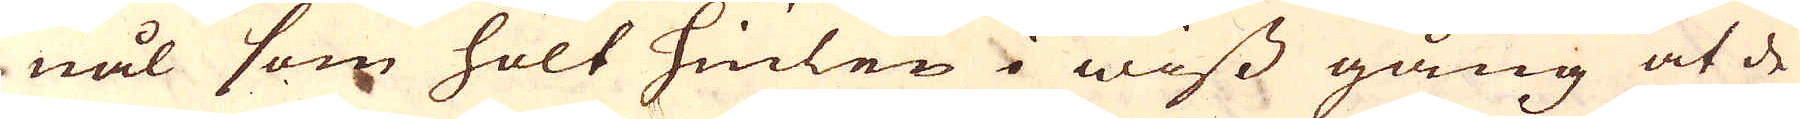nål som hölt hiulen i wiss gång at de
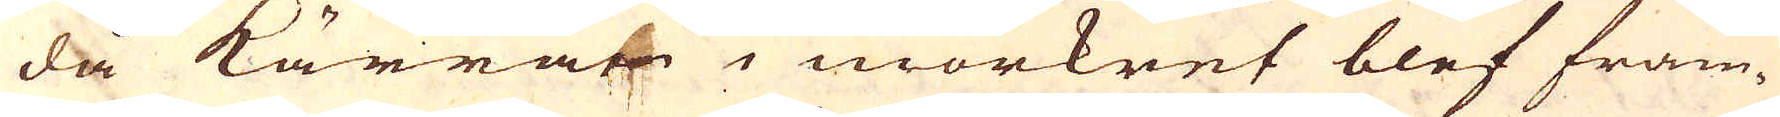då kärran i mörkret blef fram-
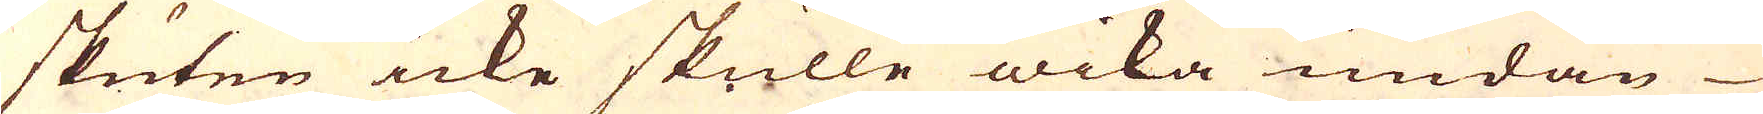skuten icke skulle wika undan
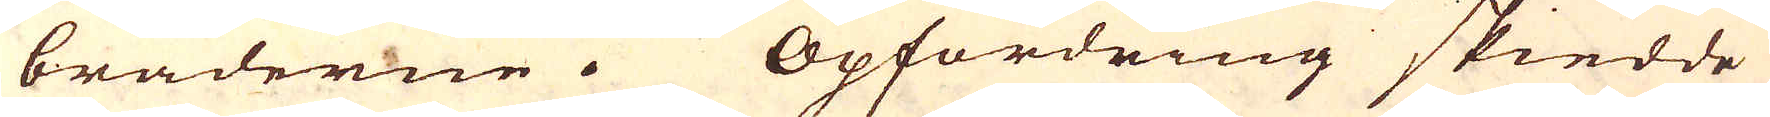bräderne. Opfordring skiedde
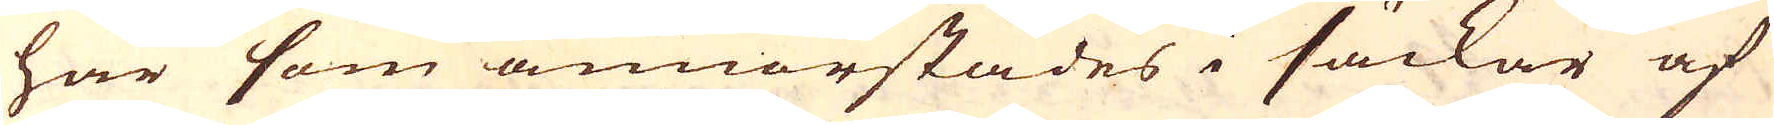här som annorstädes i säckar af
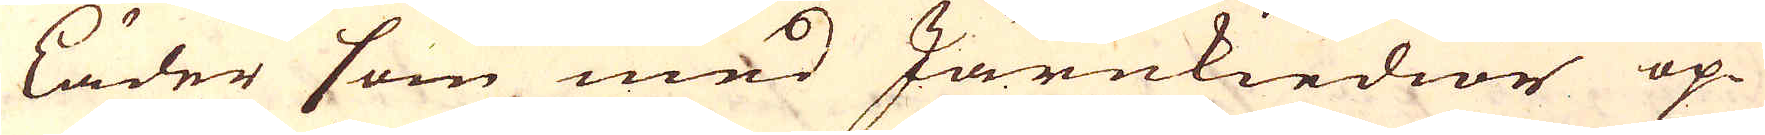läder som med Järnkiedior op-
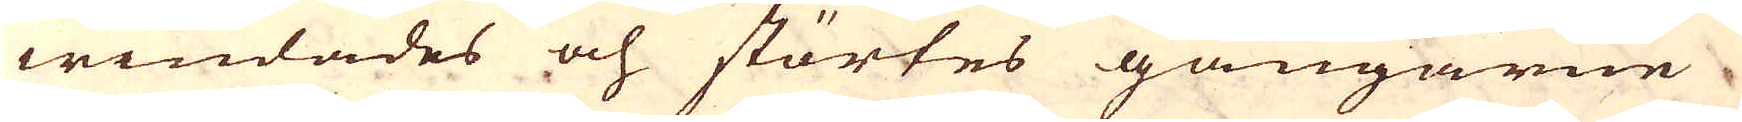windades och störtes gångarne
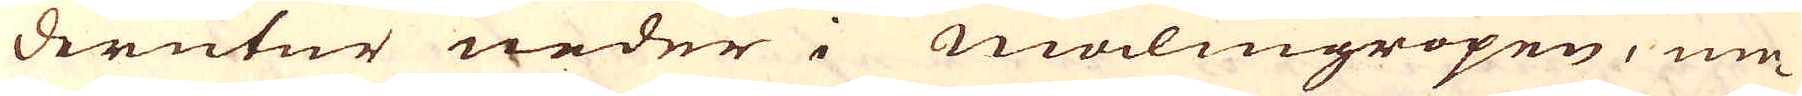derutur neder i Malmgropen, me-
